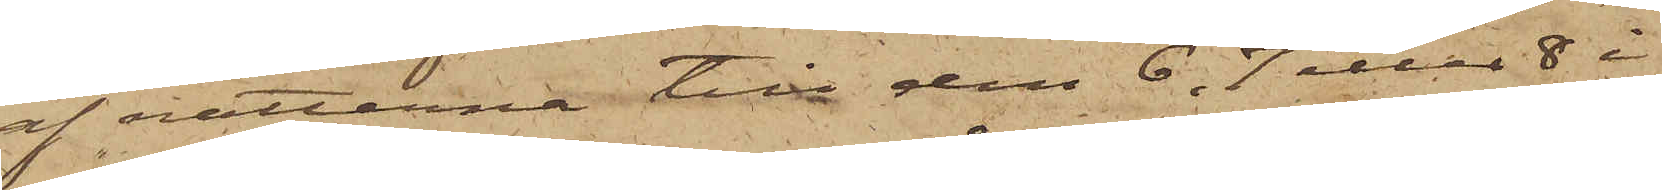af nätterna till den 6, 7 eller 8 i
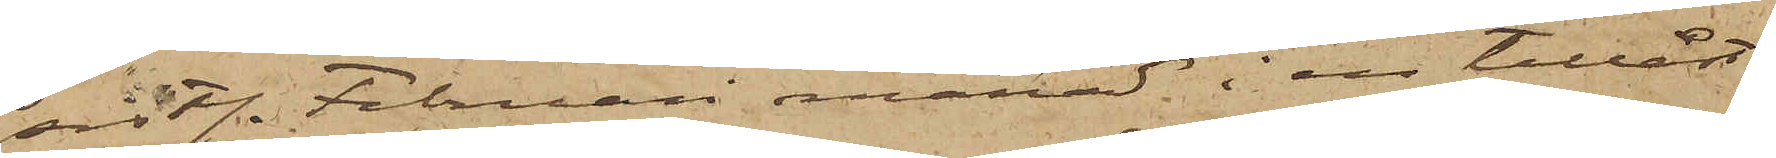sistl. Februari månad i en tillåst
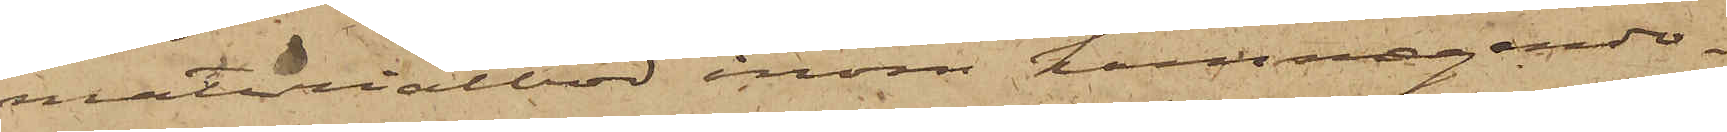materialbod inom hamnegendo¬
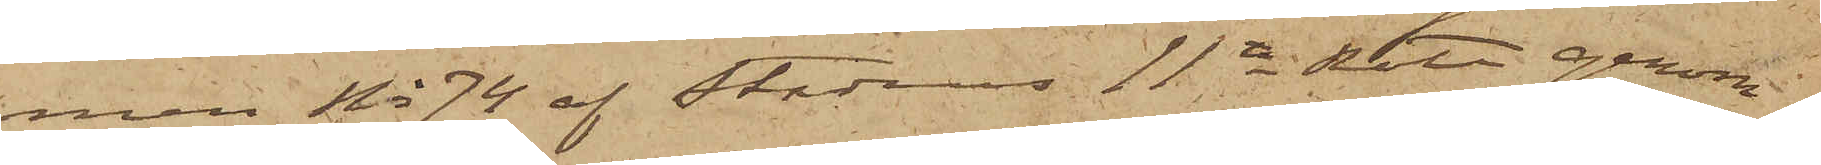men No 74 af Stadens 11te Rote genom
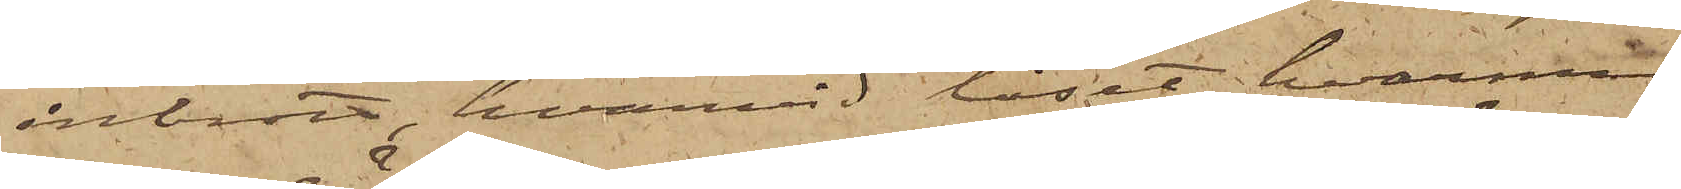inbrott, hvarvid låset, hvarmed
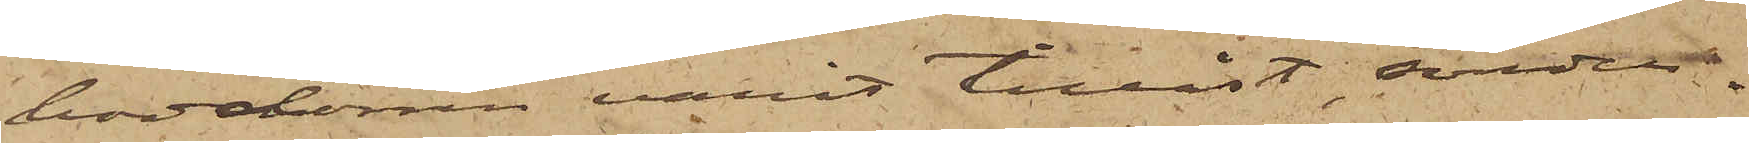boddörren varit tillåst, sönder¬
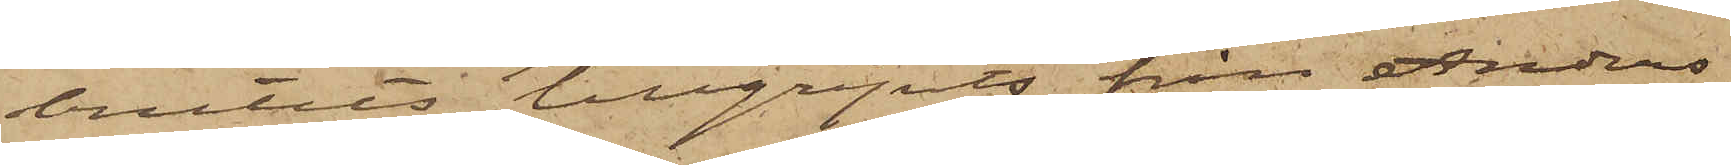brutits, tillgripits från Anders
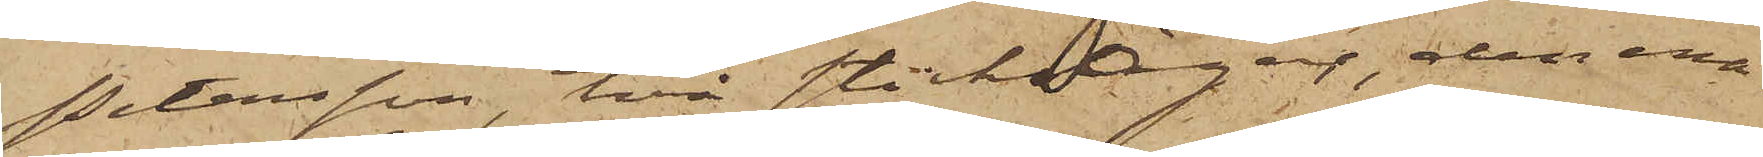Petersson, två sticksågar, den ena
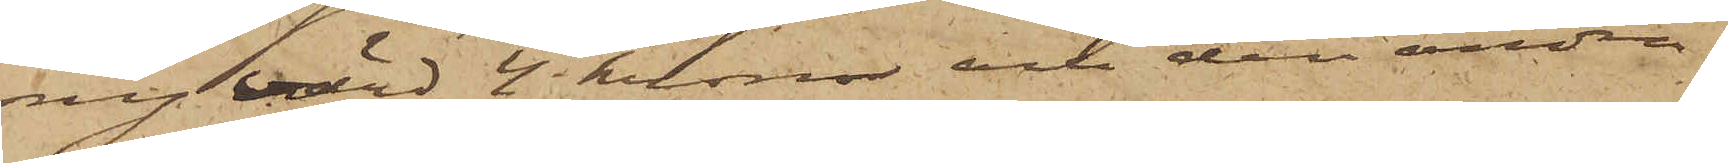ny värd 4 kronor och den andra
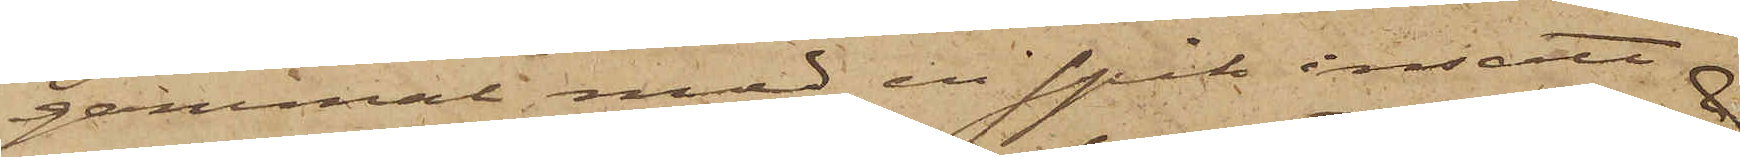gammal med en spik insatt
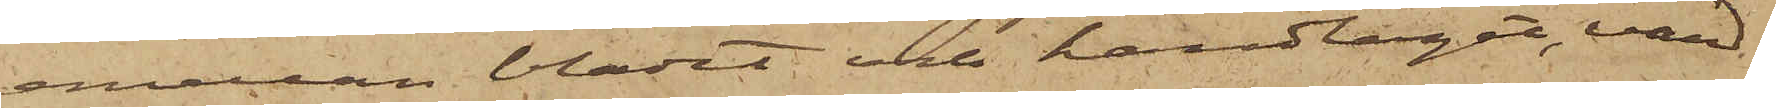emellan bladet och handtaget, värd
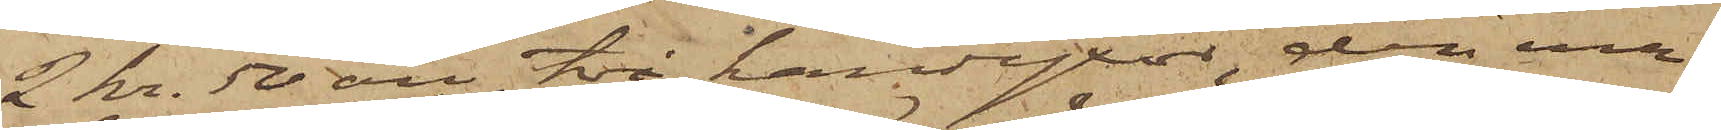2 kr. 50 öre, två handyxor, den ena
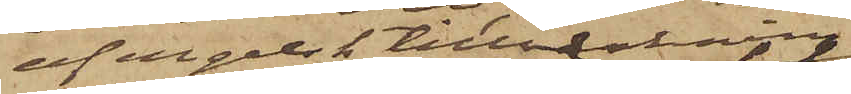af engelsk tillverkning
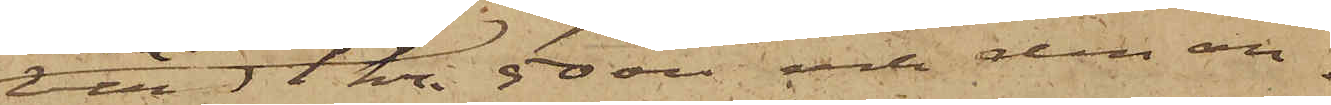värd 1 kr. 50 öre; och den an¬
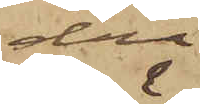dra
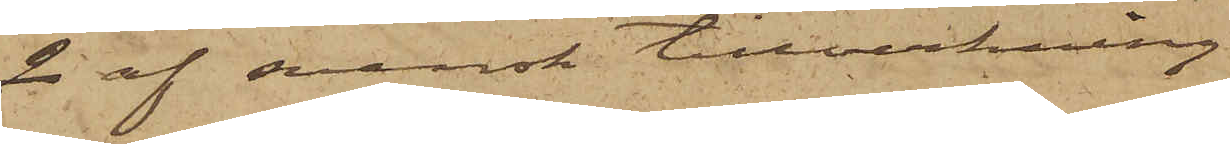2 af svensk tillverkning
